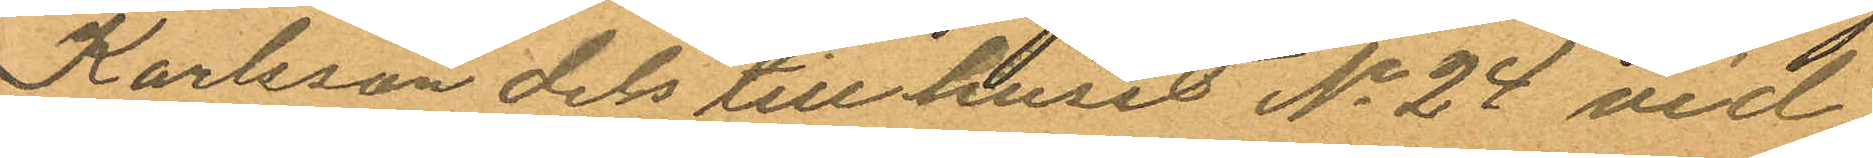Karlsson dels till huset No 24 vid
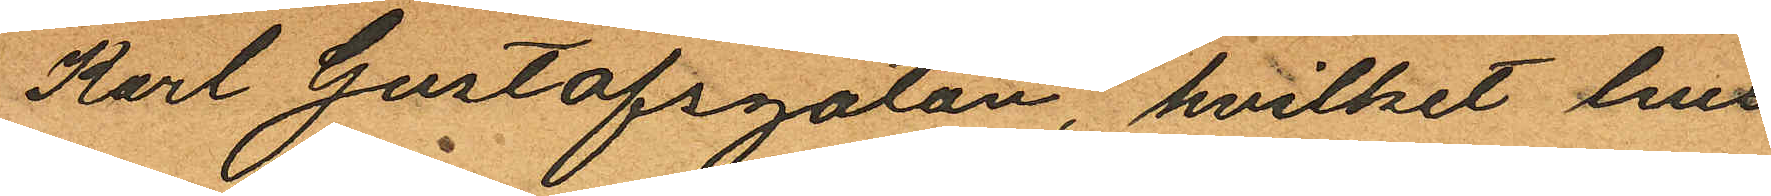Karl Gustafsgatan, hvilket hus
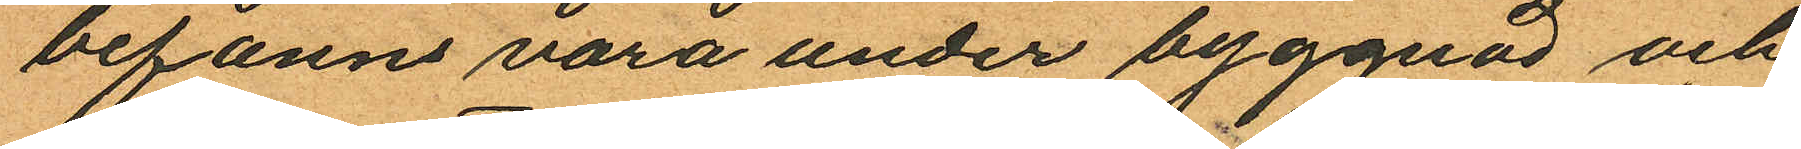befanns vara under byggnad och
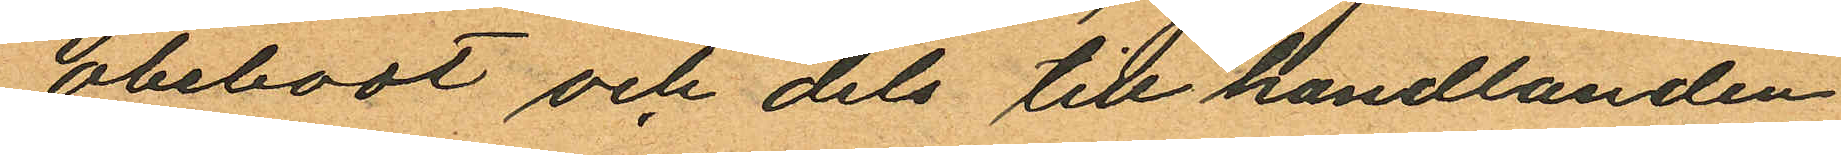obebodt och dels till handlanden
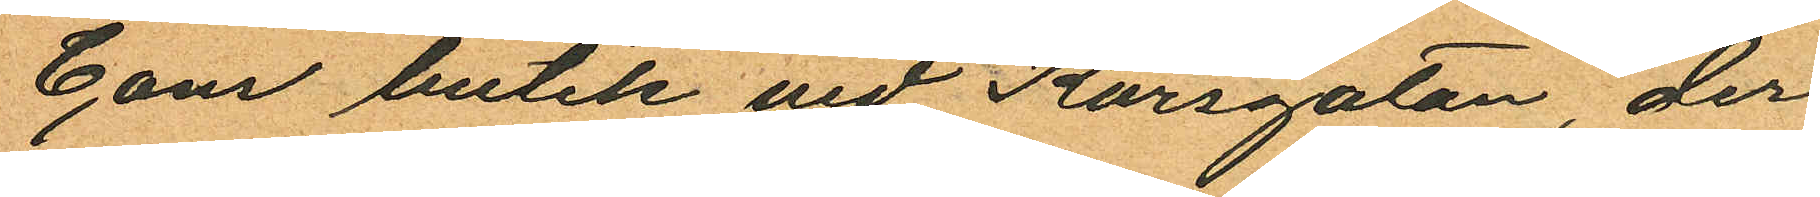Cons butik vid Korsgatan, der
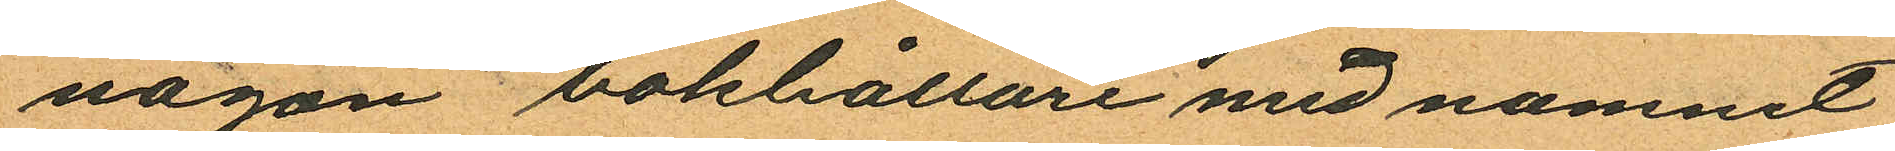någon bokhållare med namnet
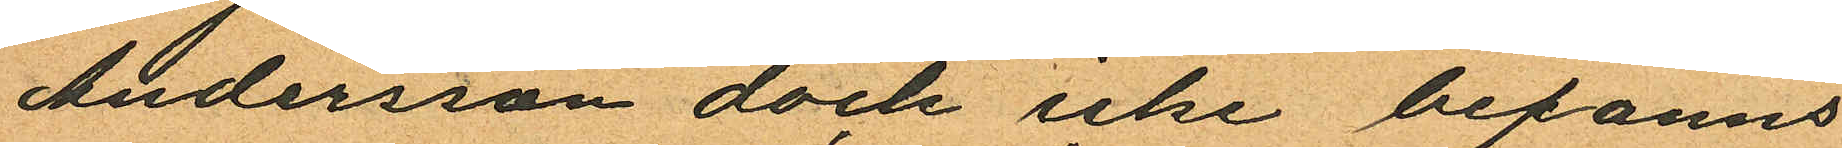Andersson dock icke befanns
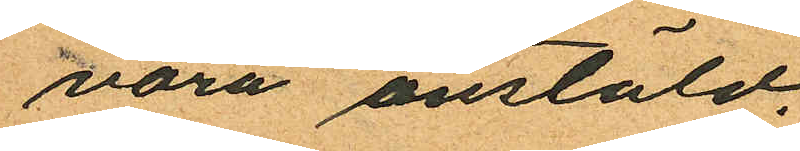vara anstäld.
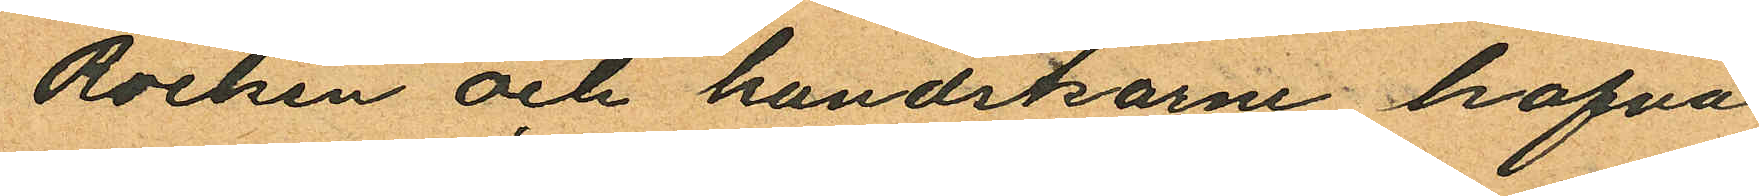Rocken och handskarne hafva
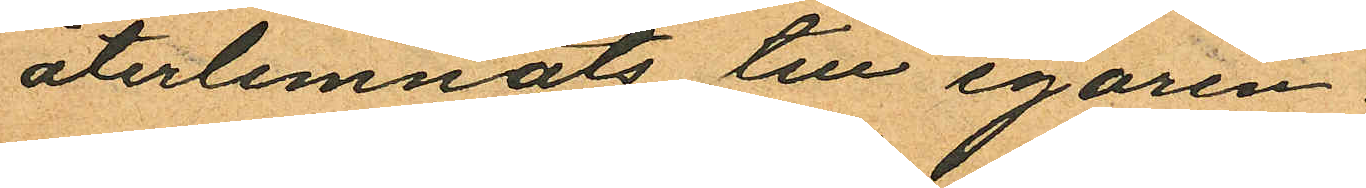återlemnats till egaren.
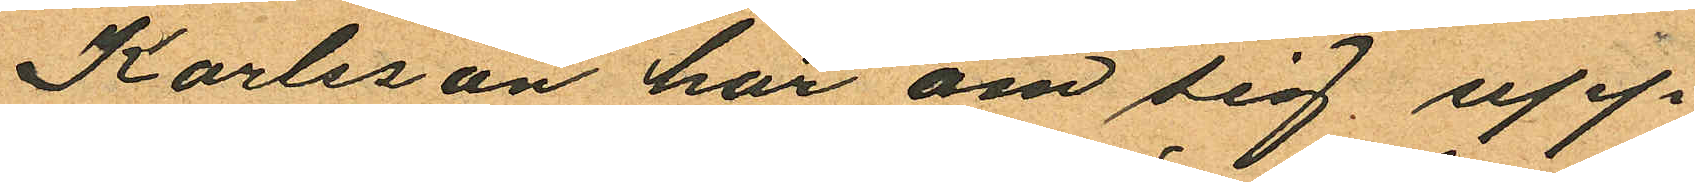Karlsson har om sig upp
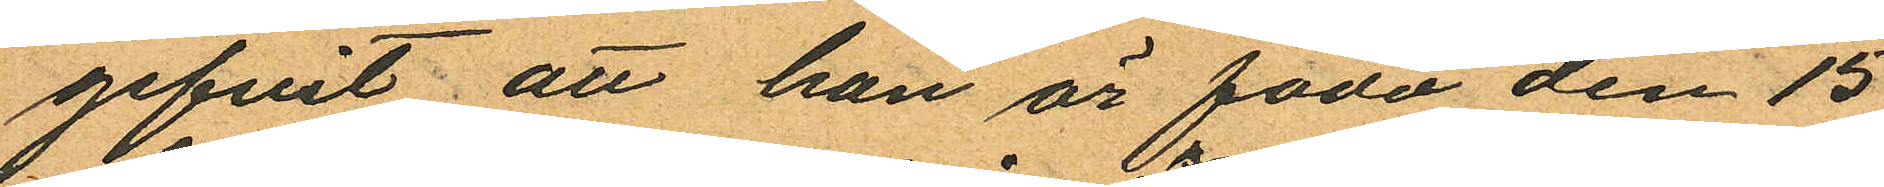gifvit att han är född den 15
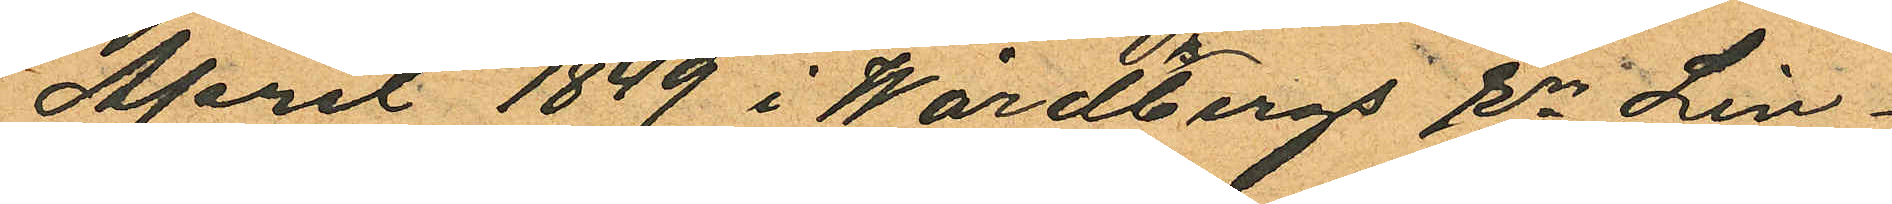April 1849 i Wårdsbergs Sn Lin¬
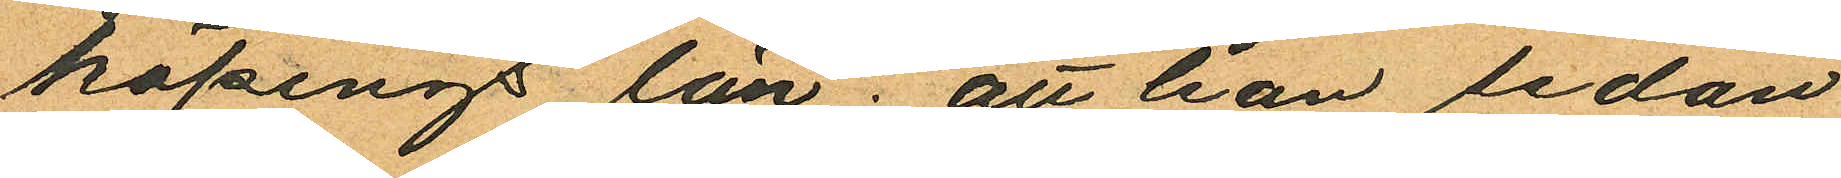köpings län; att han sedan
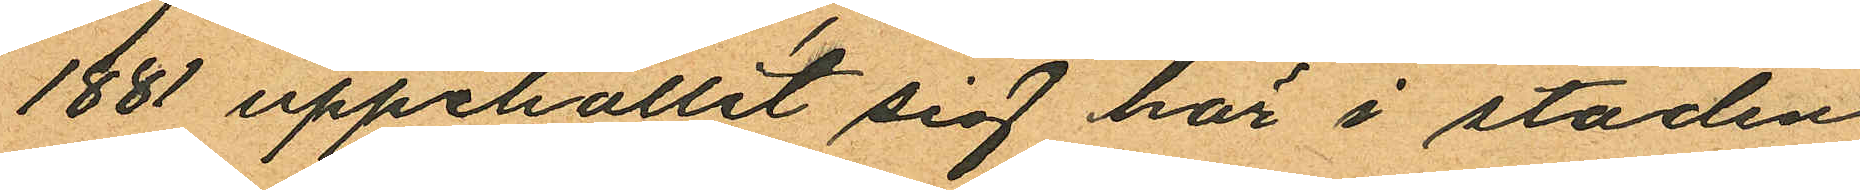1881 uppehållit sig här i staden
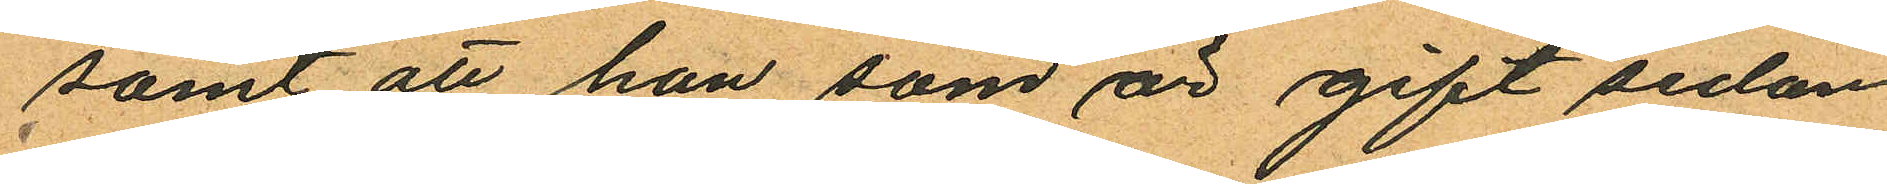samt att han som är gift sedan
